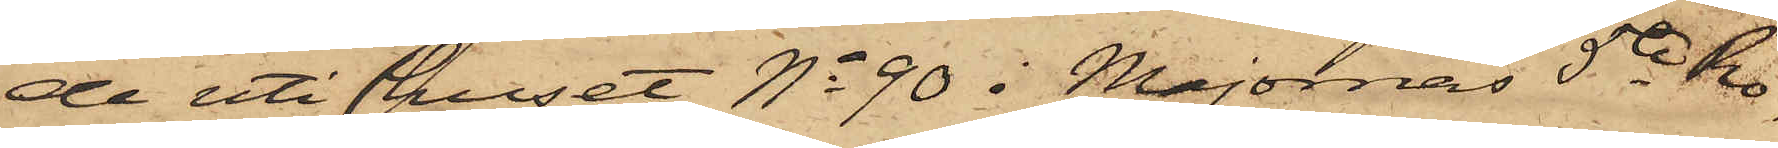de uti huset No 90 i Majornas 5te Ro¬
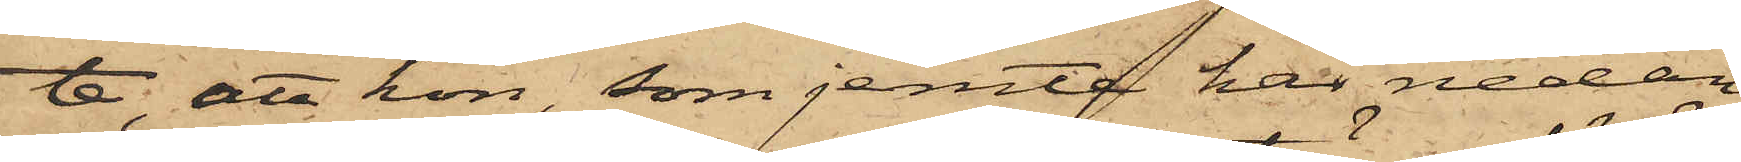te, att hon, som jemte här nedan
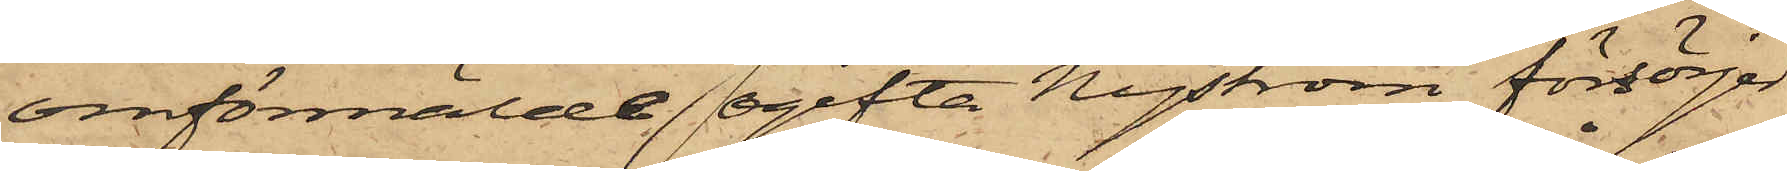omförmälde ogifta Nyström försörjer
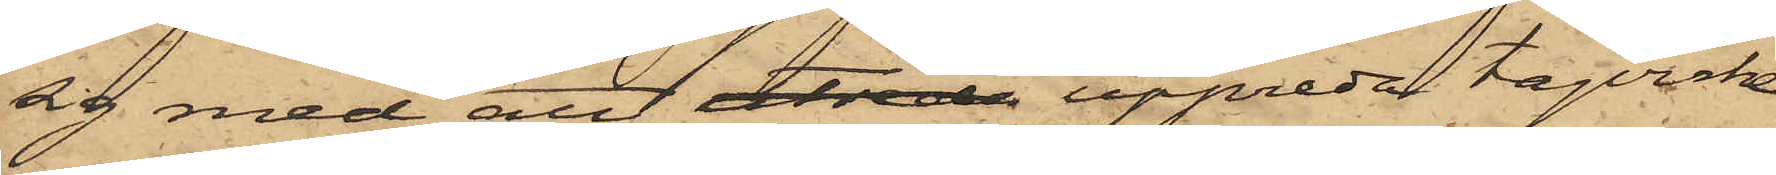sig med att utreda uppreda tågvirke
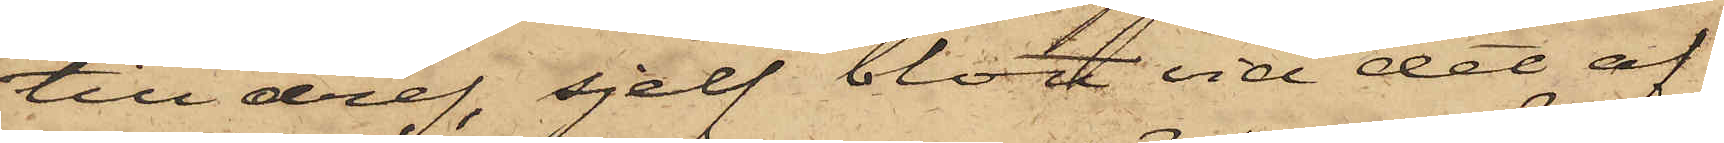till dref, sjelf blott vid det af
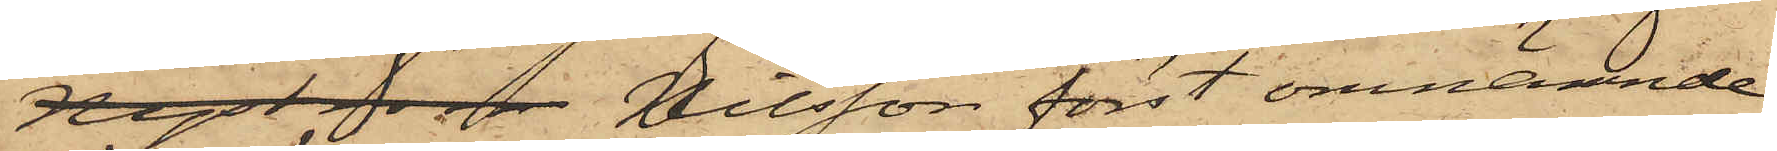Nyst som  Nilsson först omnämnde
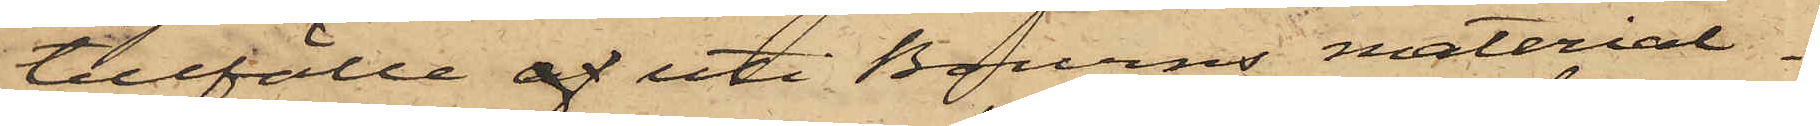tillfälle af uti Bourns material¬
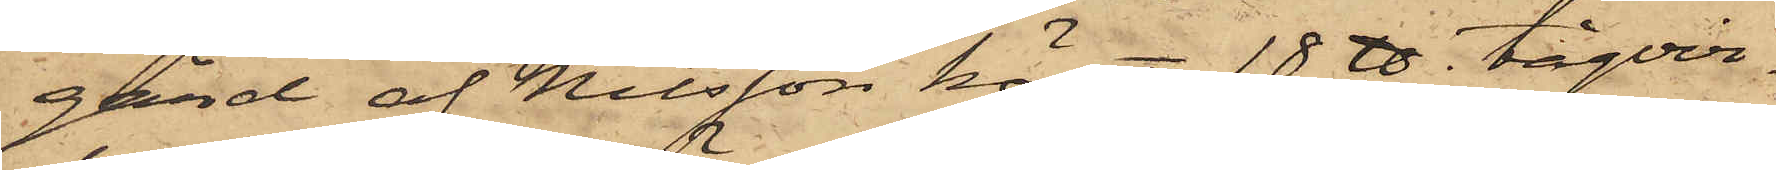gård af Nilsson köpt 18 ℔ tågvir¬
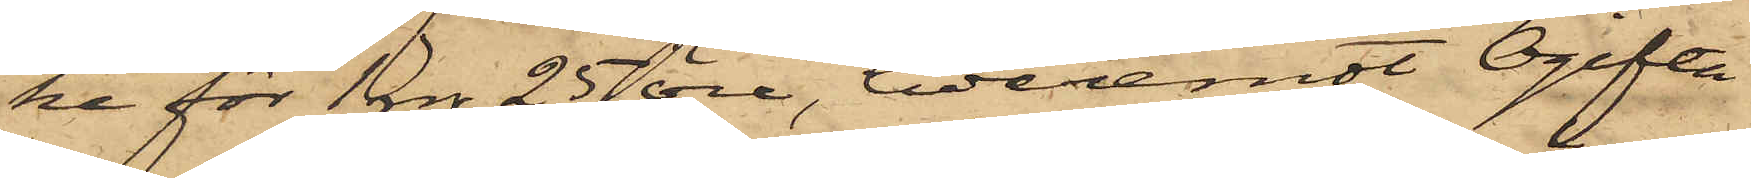ke för 1 rdr 25 öre, hvaremot Ogifta
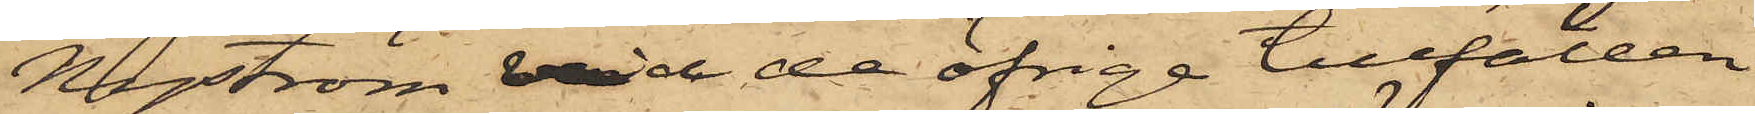Nyström vid de öfriga tillfällen
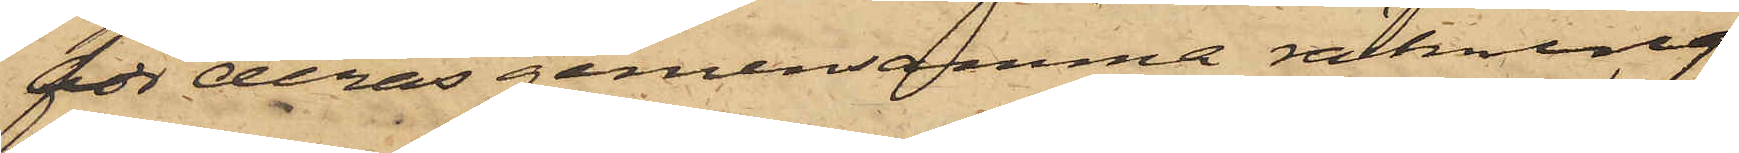för deras gemensamma räkning
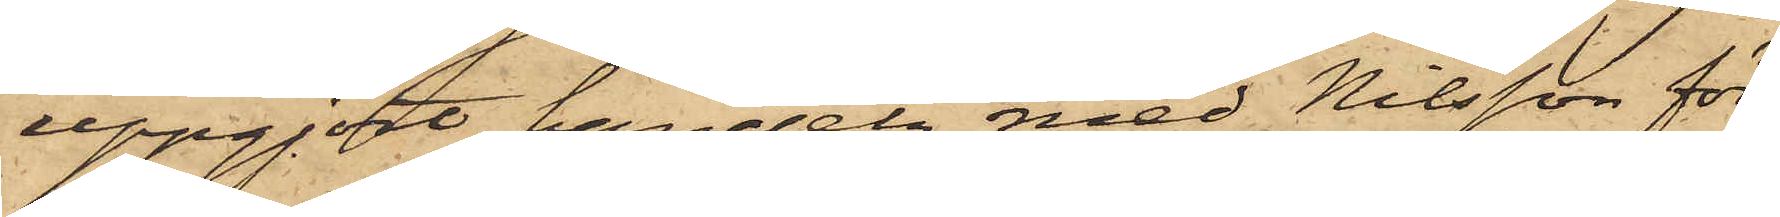uppgjort handeln med Nilsson för
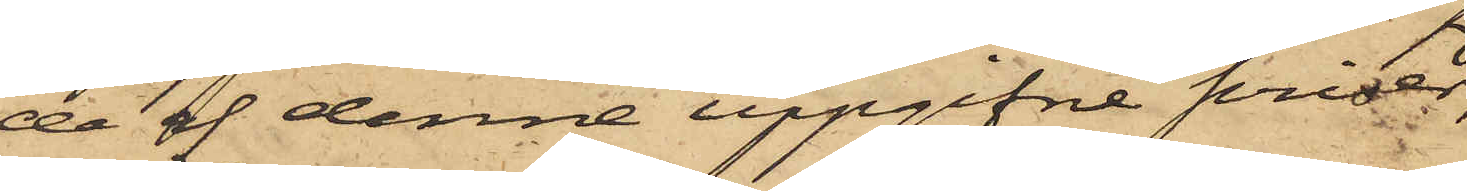de af denne uppgifne priser;
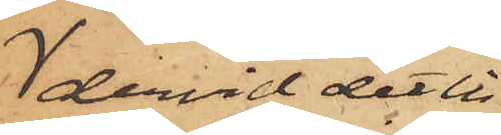dervid det in¬
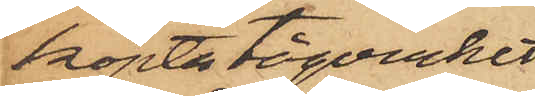köpta tågvirket
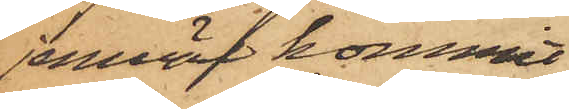jemväl kommit
